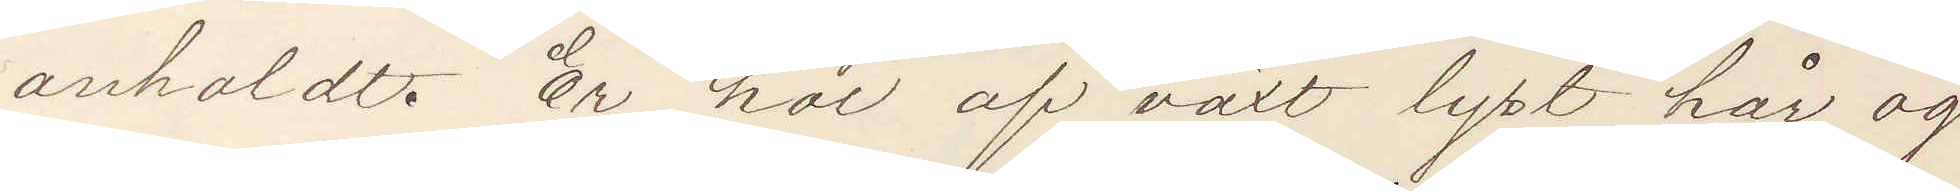anholdt. Er hoi af växt lyst hår og
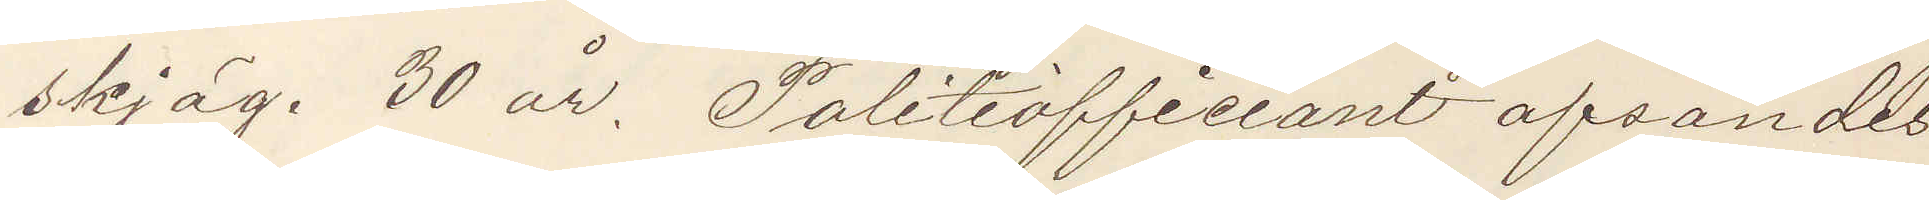skjäg. 30 år. Politiofficiant afsändes
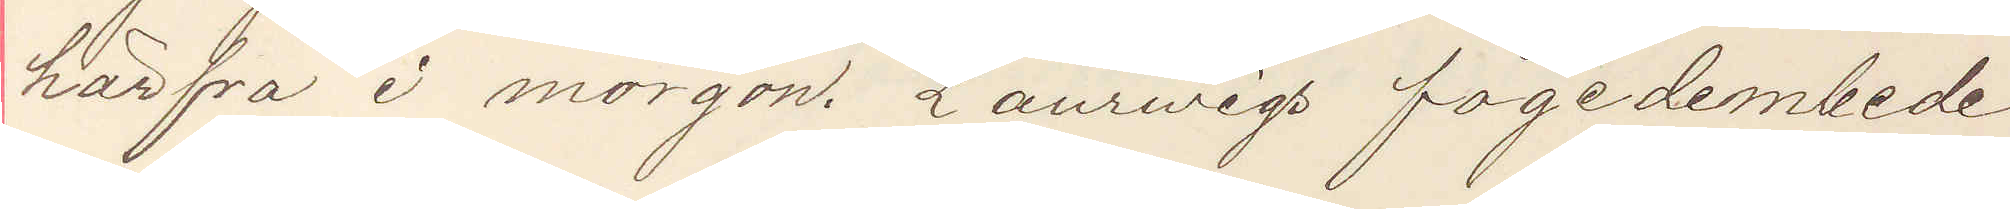härfra i morgon. Laurwigs fogedembede
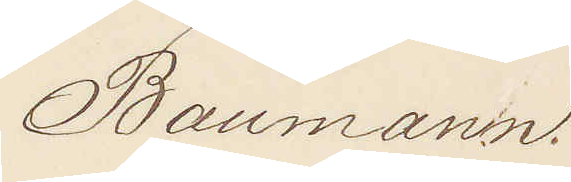Baumann.
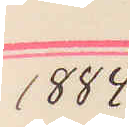1884
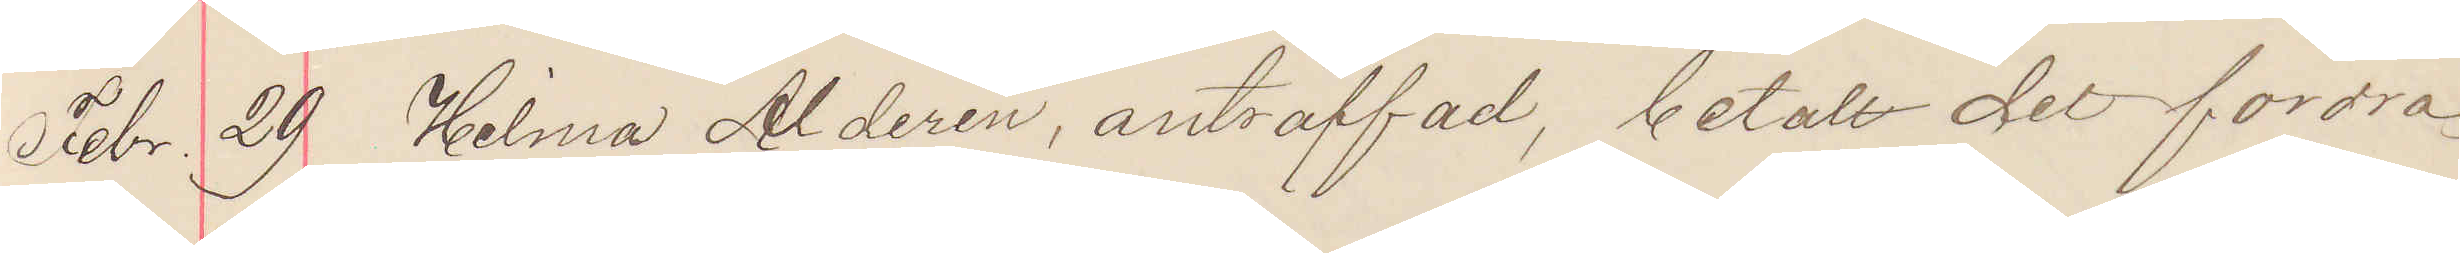Febr. 29 Hilma Alderin, anträffad, betalt det fordra¬
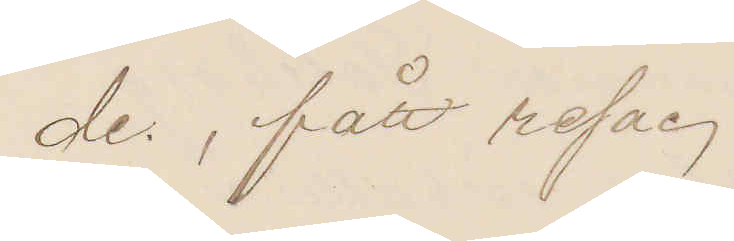de, fått resa.
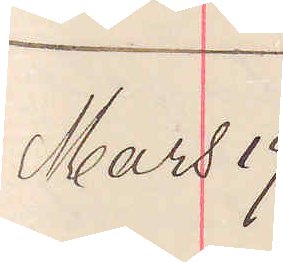Mars 19
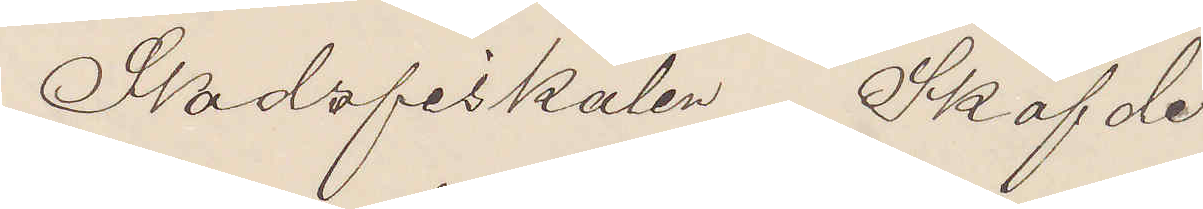Stadsfiskalen Sköfvde.
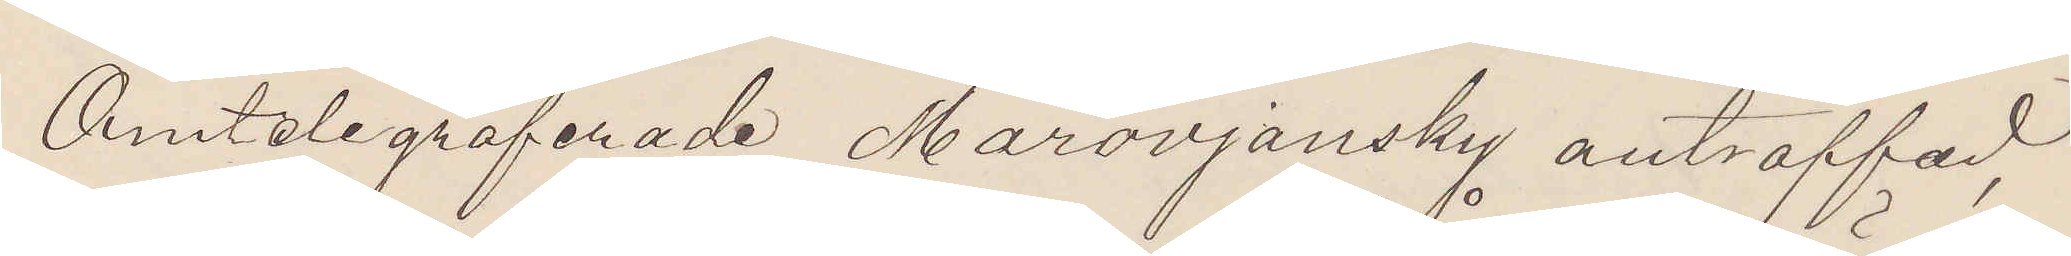Omtelegraferade Marovjansky anträffad,
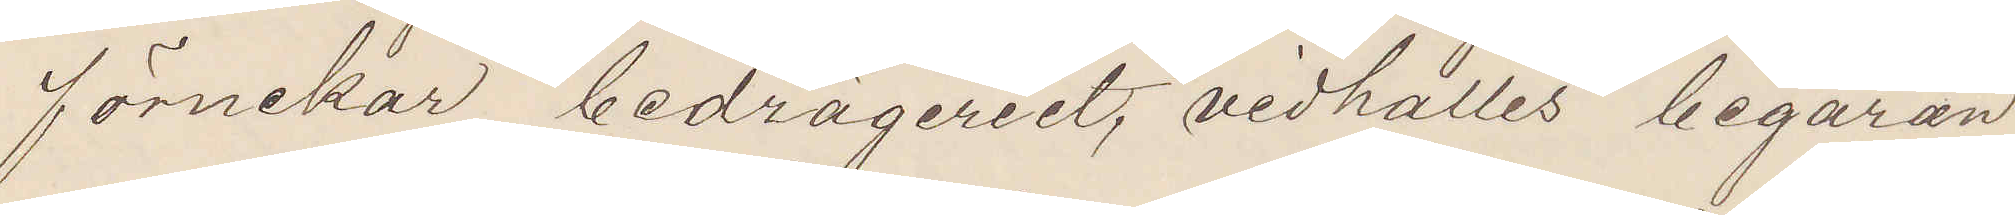förnekar bedrägeriet, vidhålles begäran
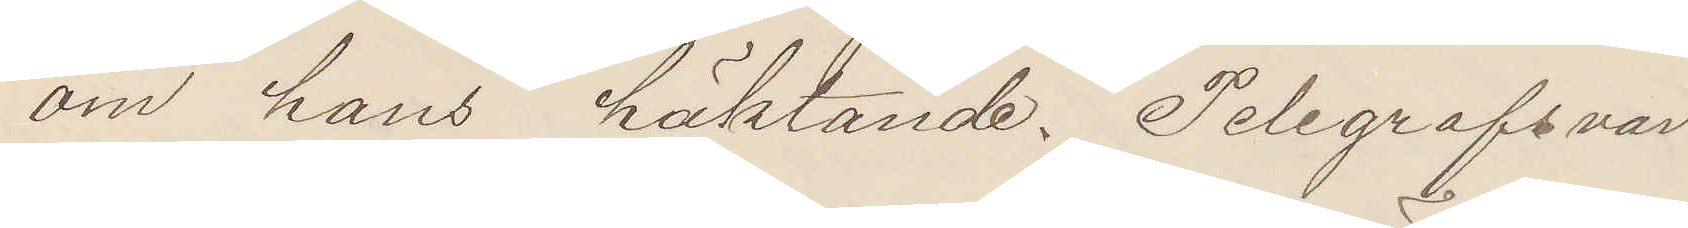om hans häktande. Telegrafsvar
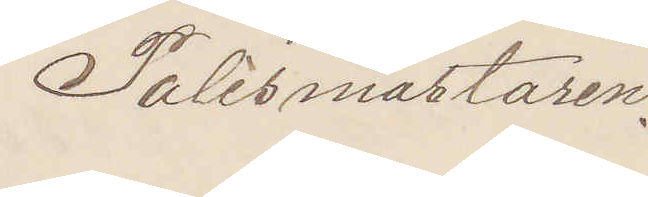Polismästaren.
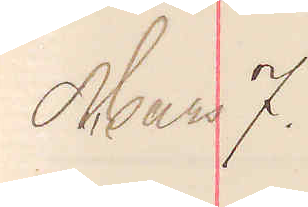Mars 7.
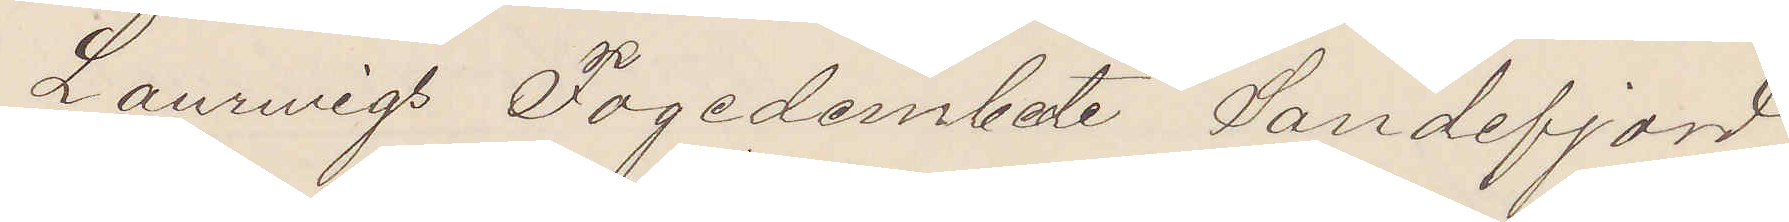Laurwigs Fogdeembede Sandefjord
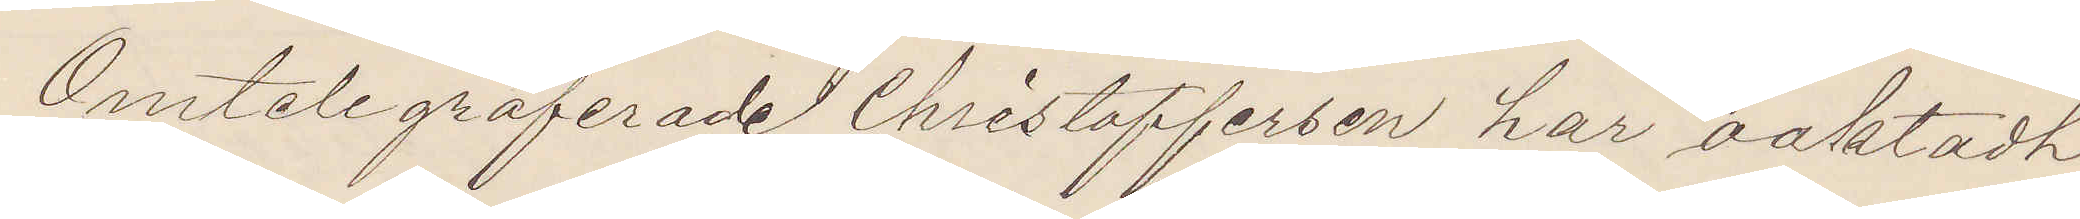Omtelegraferade Christoffersen har oaktadt
